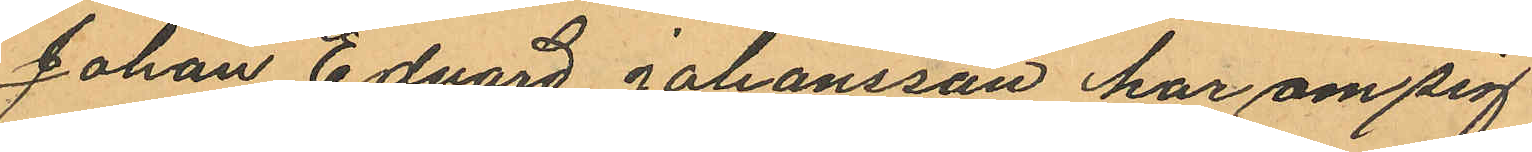Johan Edvard Johansson har om sig
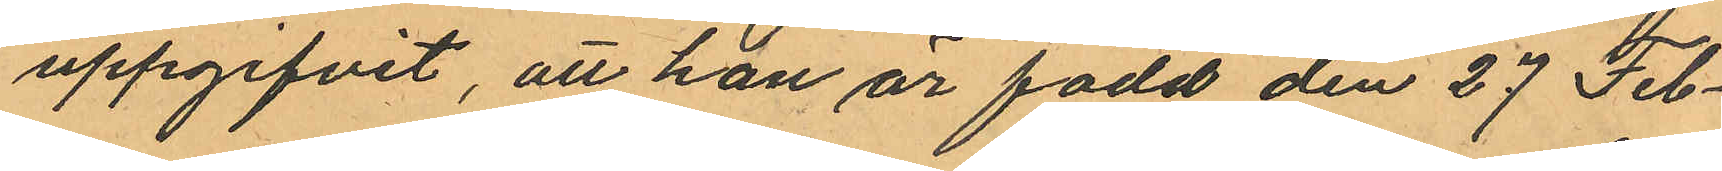uppgifvit, att han är född den 27 Feb¬
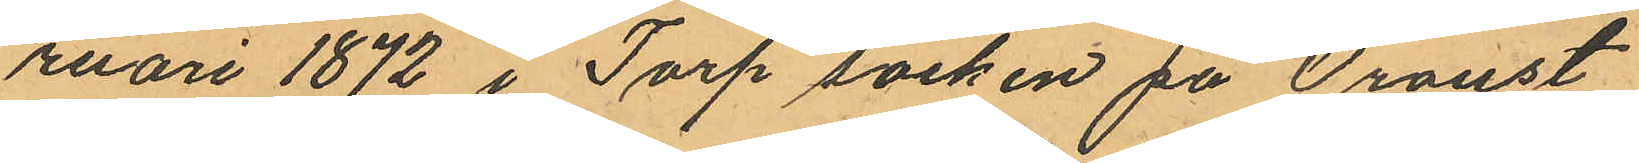ruari 1872 i Torp socken på Oroust,
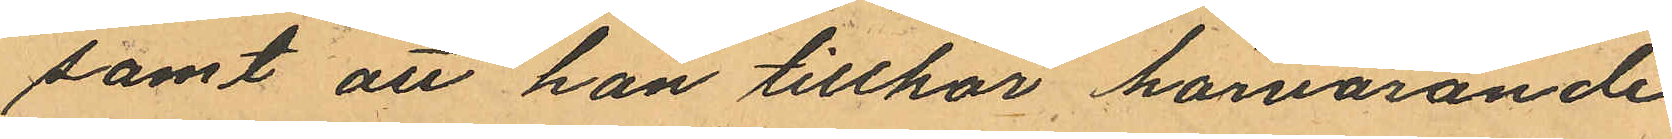samt att han tillhör härvarande
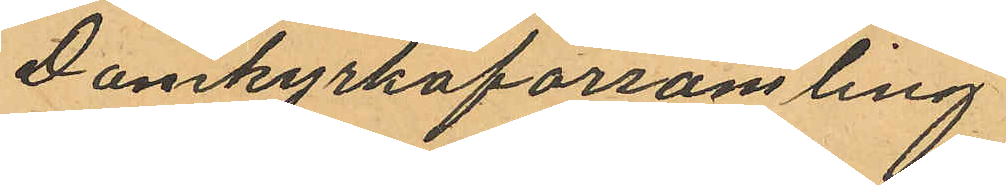Domkyrkoförsamling
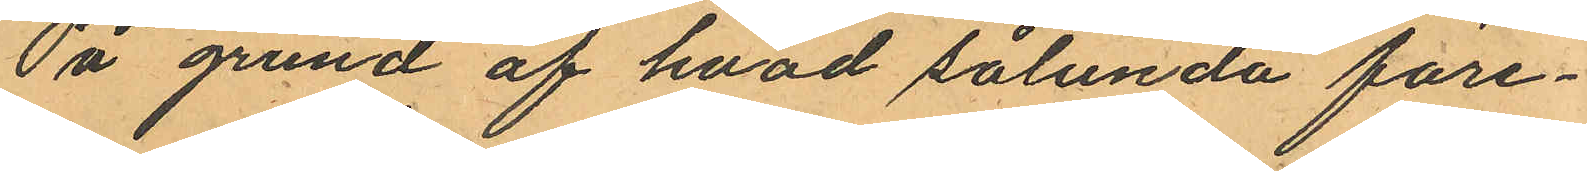På grund af hvad sålunda före¬
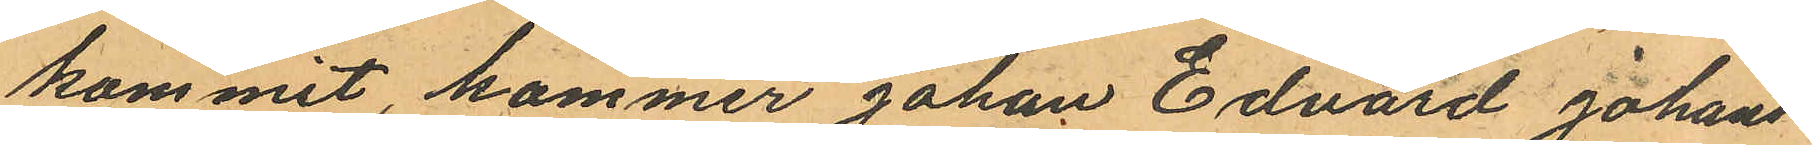kommit, kommer Johan Edvard Johans¬
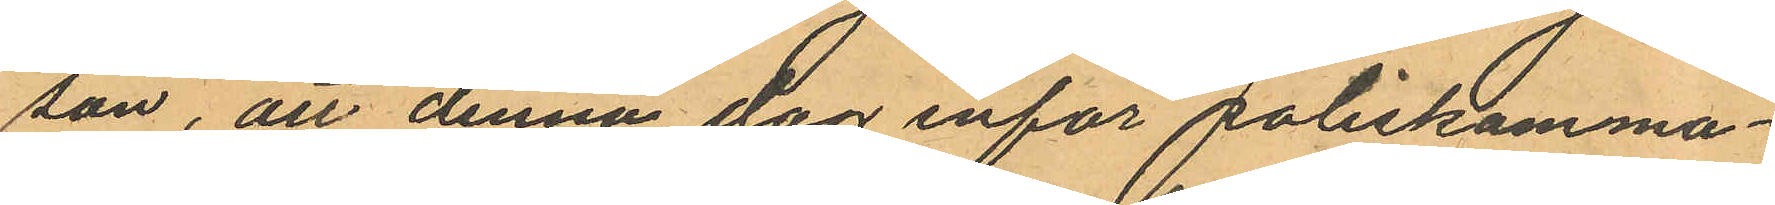son, att denna dag inför poliskamma¬
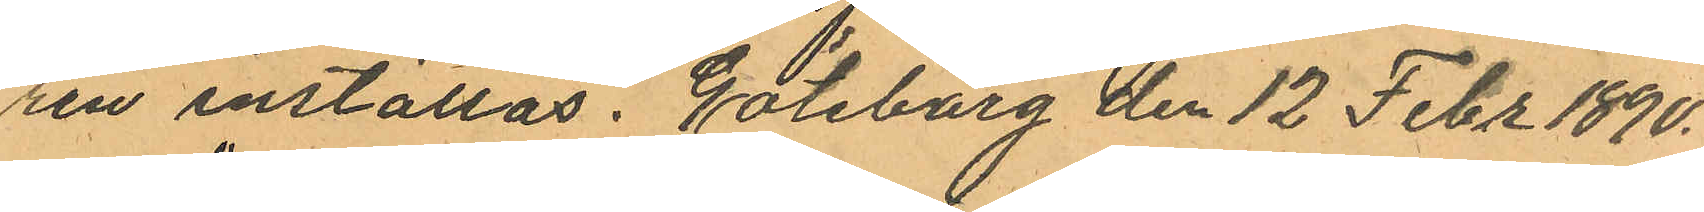ren inställas. Göteborg den 12 Febr 1890.
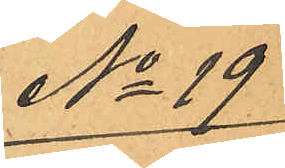No 19
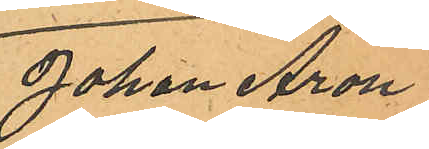Johan Aron
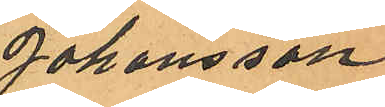Johansson.
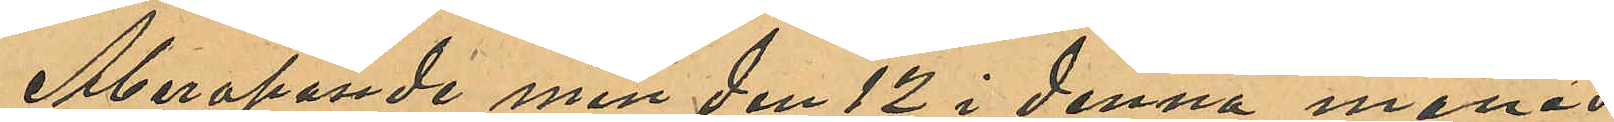Åberopande min den 12 i denna månad
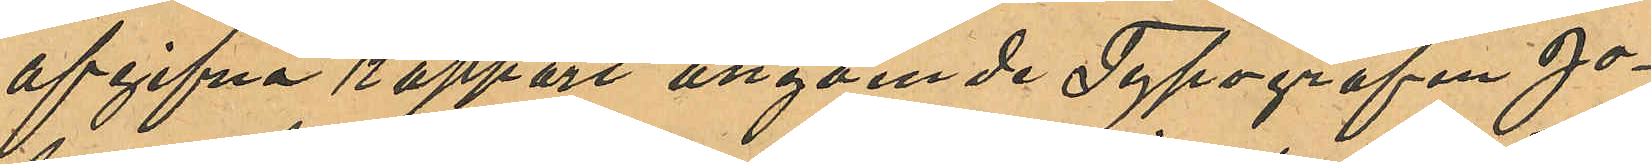afgifna rapport angående Typografen Jo¬
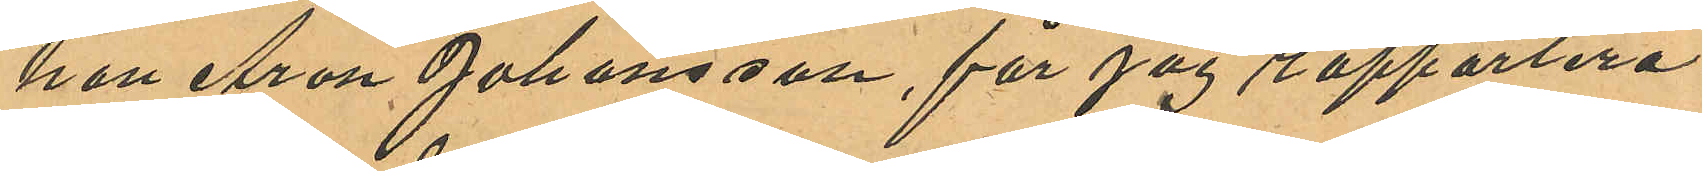han Aron Johansson, får jag rapportera
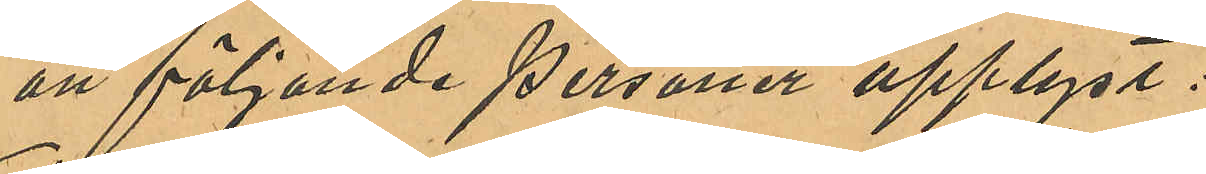att följande personer upplyst:
